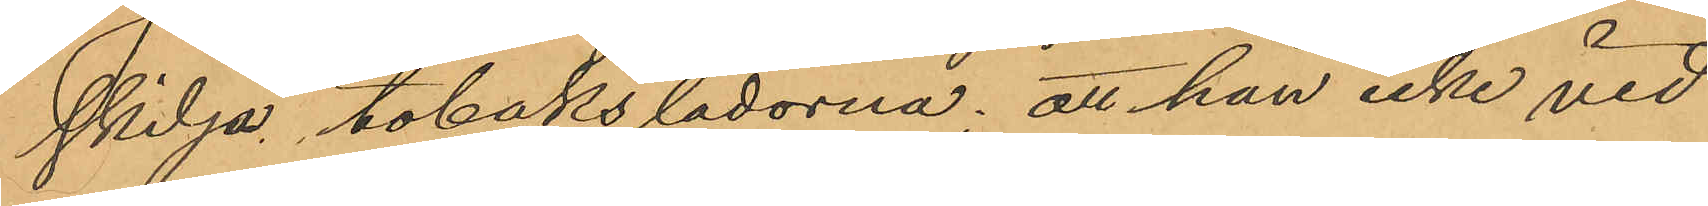skilja tobakslådorna; att han icke vid
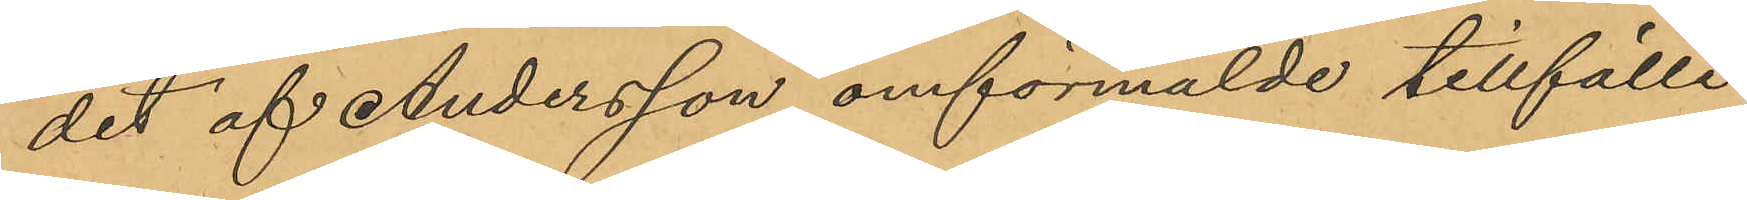det af Andersson omförmälde tillfälle
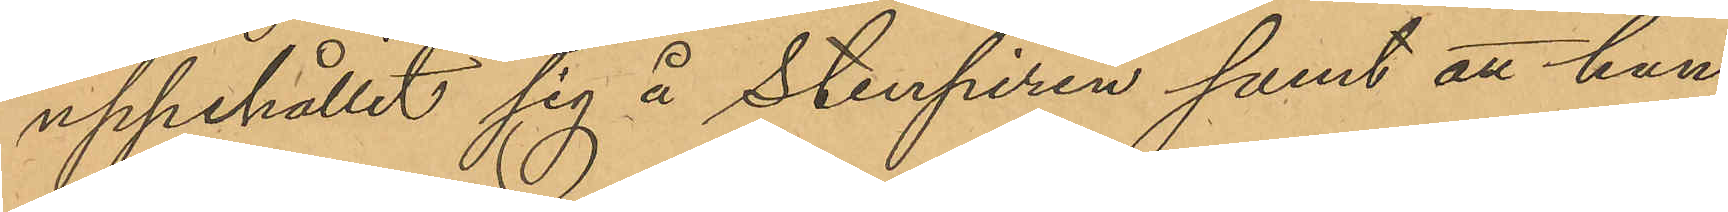uppehållit sig å Stenpiren samt att han
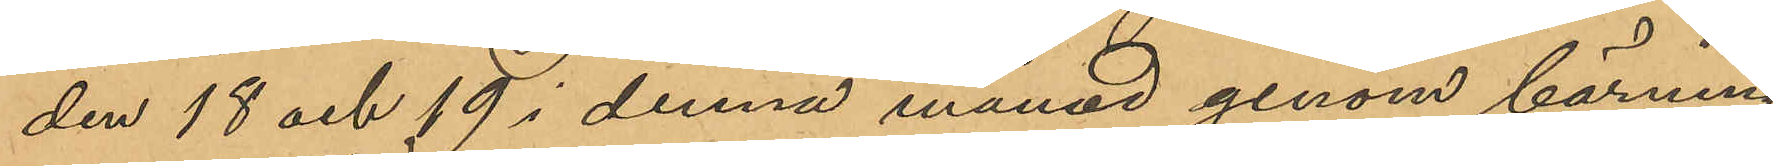den 18 och 19 i denna månad genom bärning
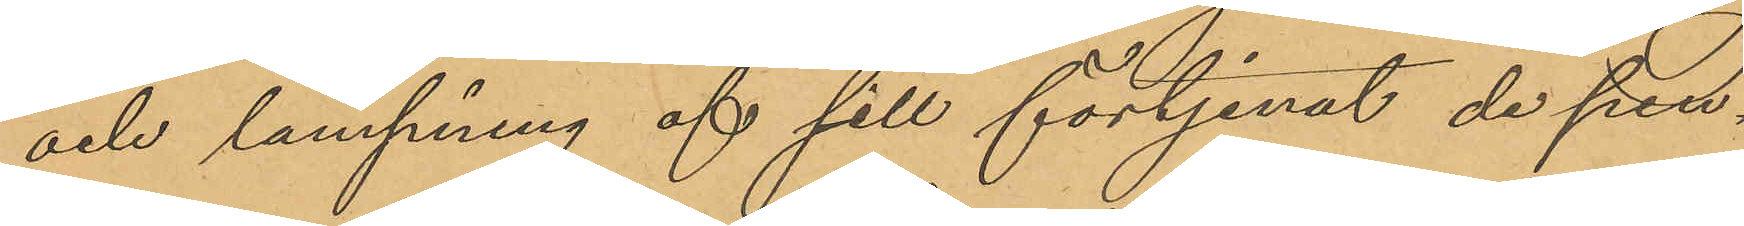och länsning af sill förtjenat de pen¬
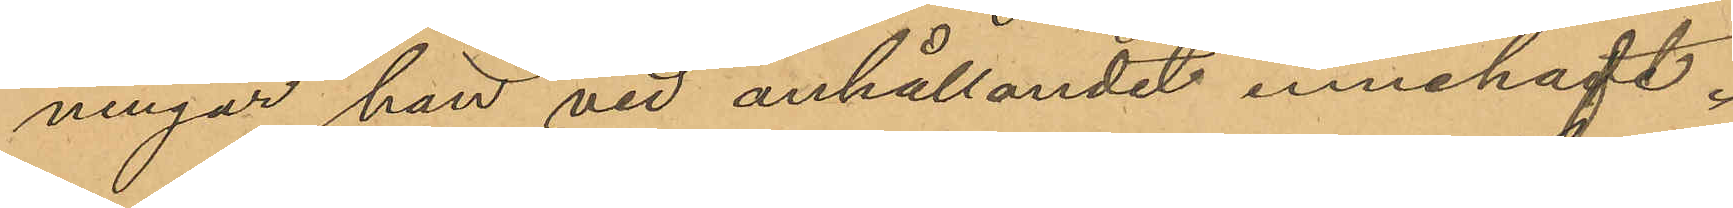ningar han vid anhållandet innehaft.
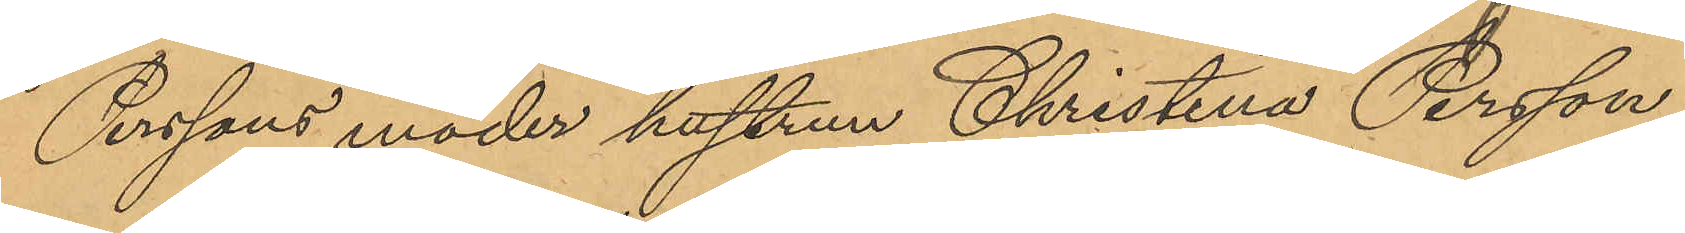Perssons moder hustrun Christina Persson,
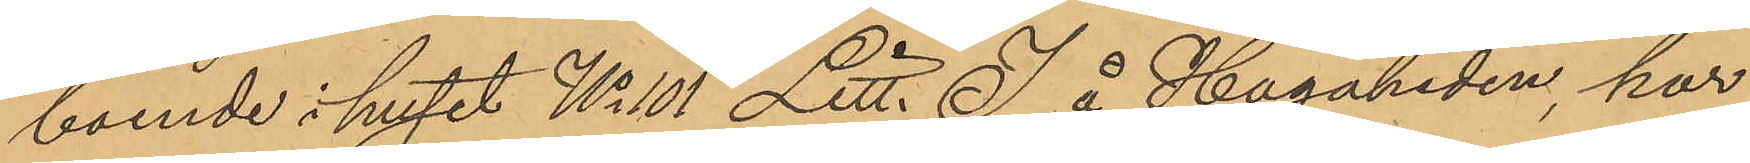boende i huset No 101 Litt. I å Hagaheden, har
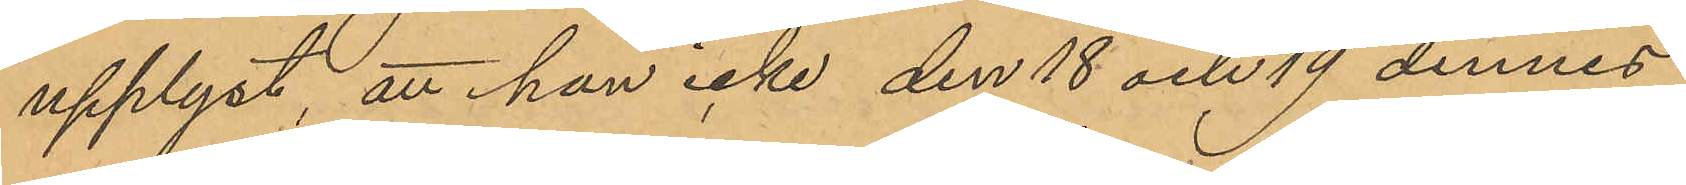upplyst, att hon icke den 18 och 19 dennes
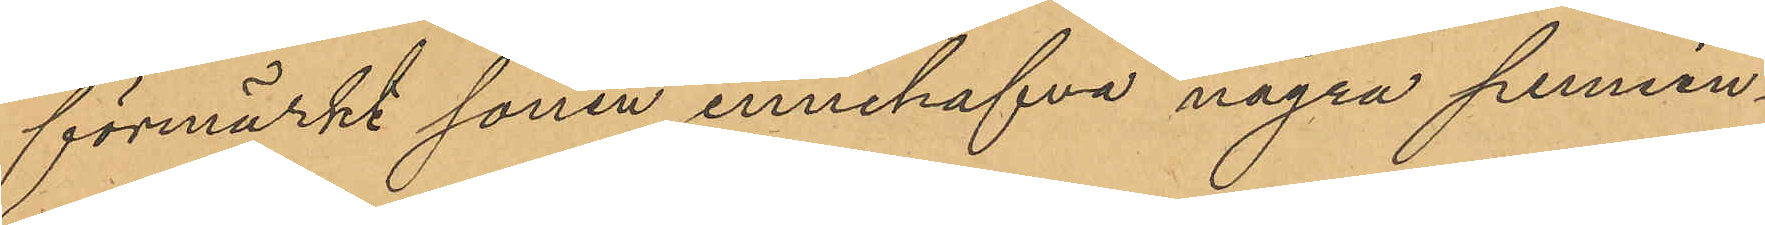förmärkt sonen innehafva några pennin¬
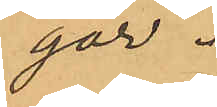gar.
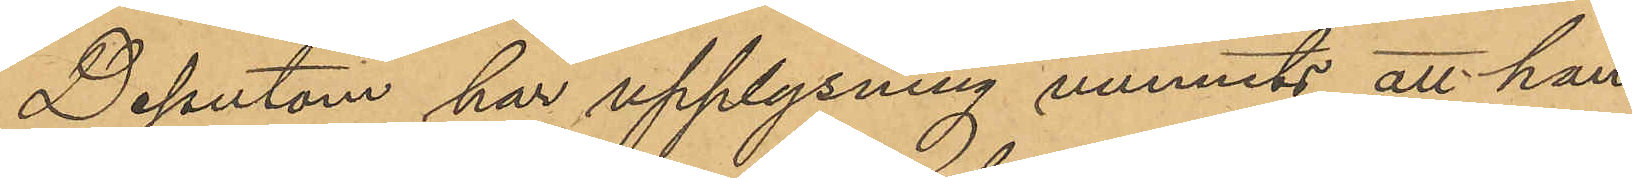Dessutom har upplysning vunnits att han
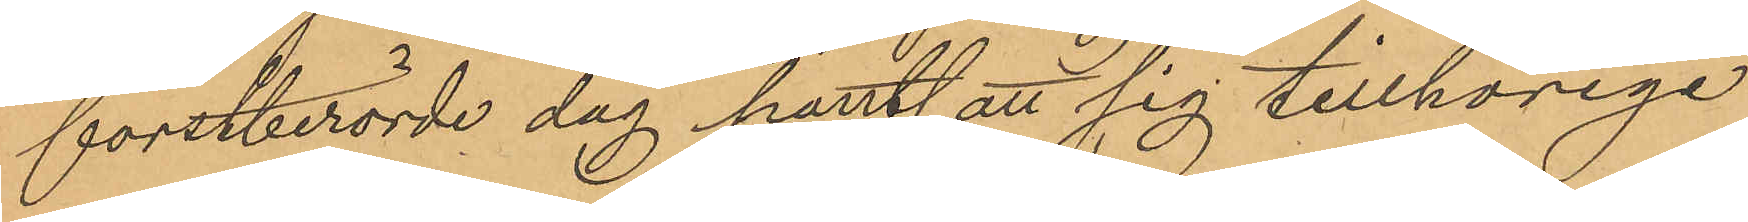förstberörde dag pantsatt sig tillhörige
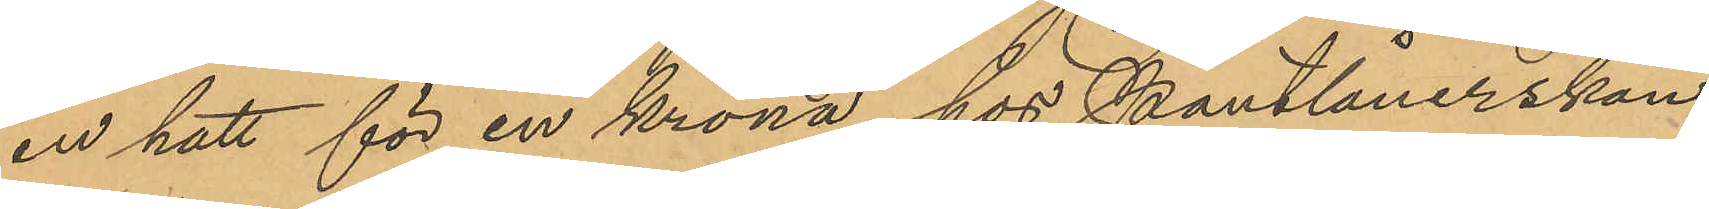en hatt för en krona hos Pantlånerskan
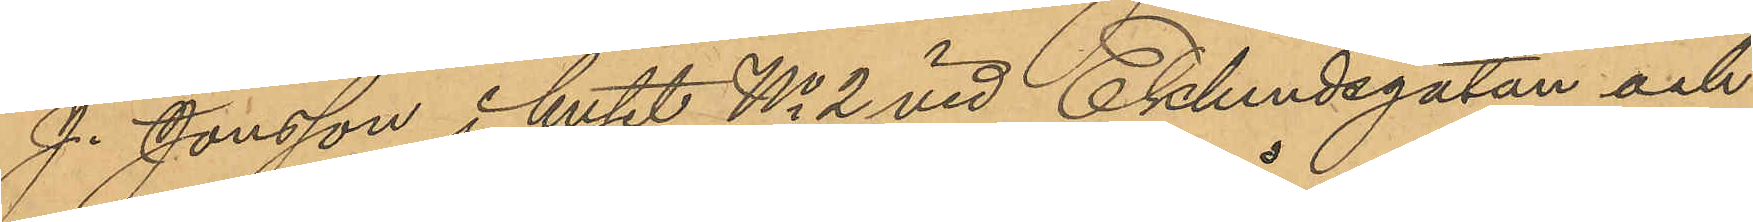J. Jonsson i huset No 2 vid Eklundsgatan och
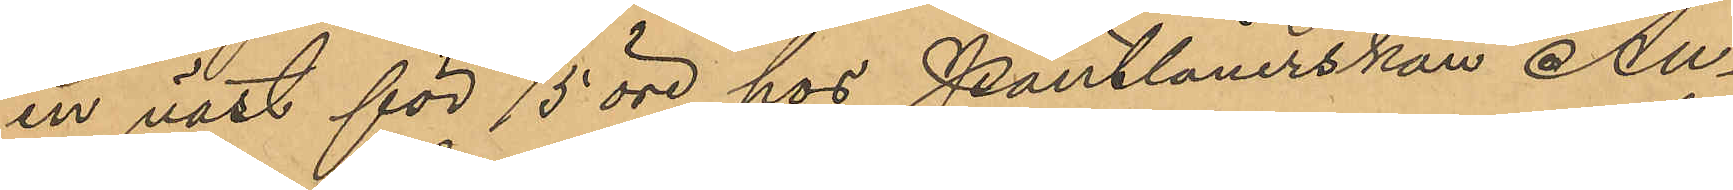en väst för 75 öre hos Pantlånerskan Au¬
